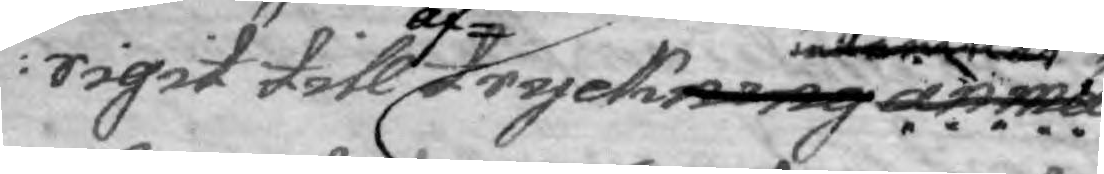rigit till af tryckning lemnas anmä¬
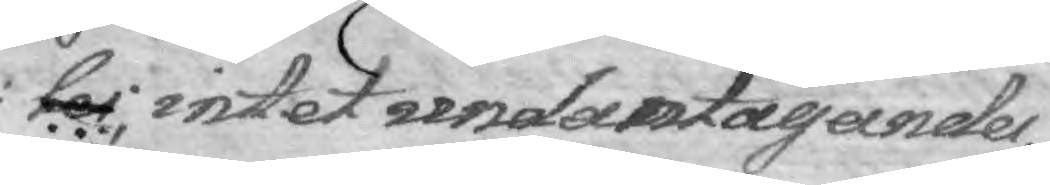ler; intet undantagandes,
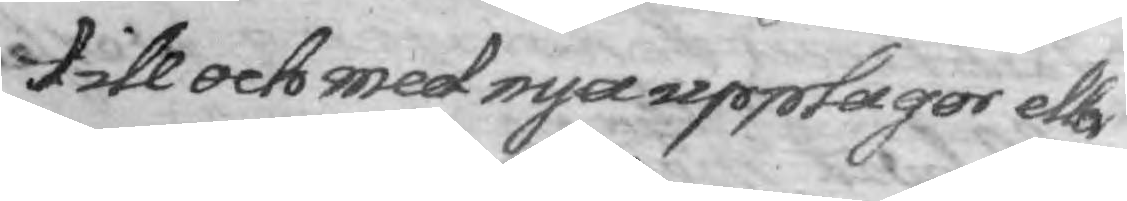till och med nya upplagor eller
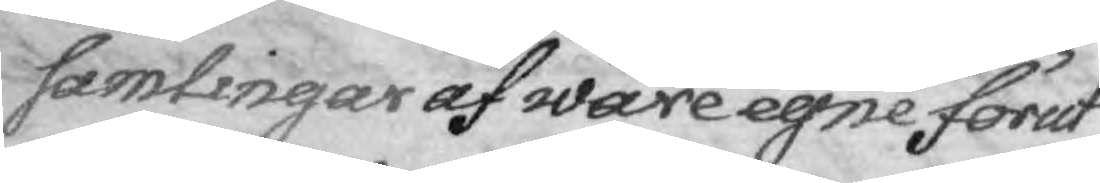samlingar af wåre egne förut
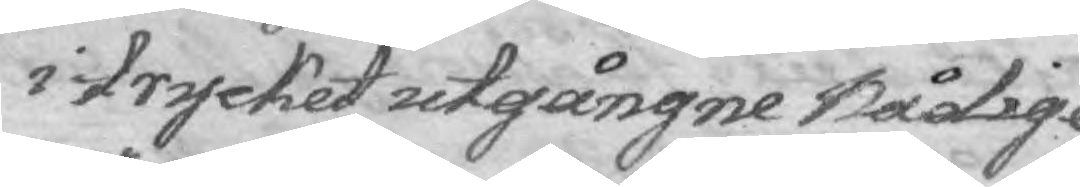i trycket utgångne Nådige
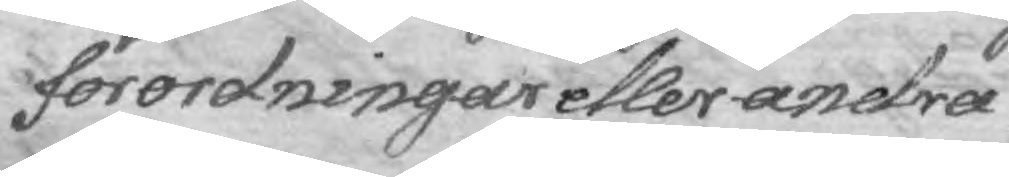förordningar eller andra
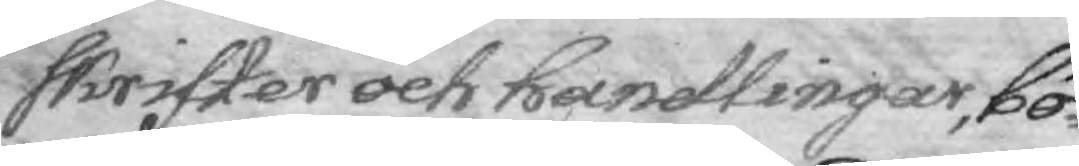skrifter och handlingar, bö¬
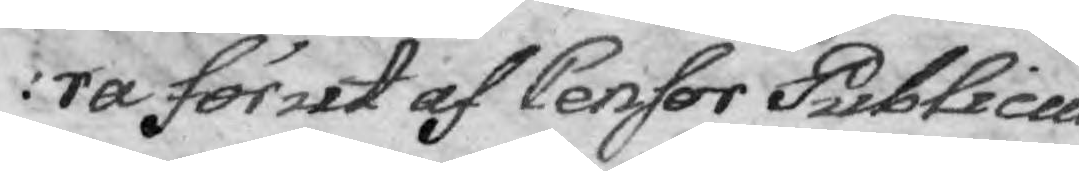ra förut af Censor Publicus
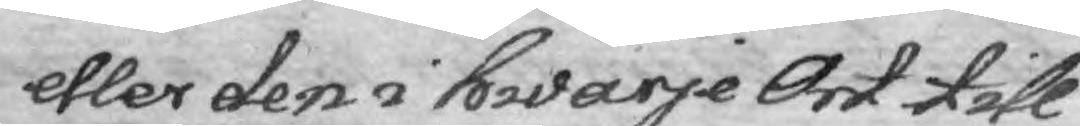eller den i hwarje Ort till
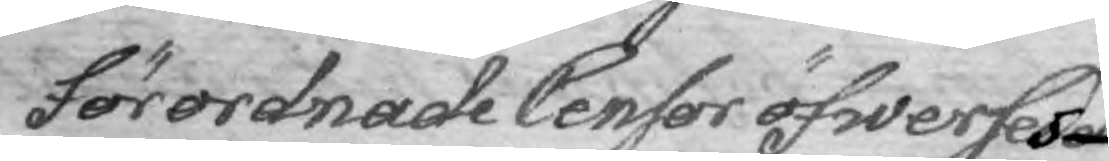förordnade Censor öfwerses
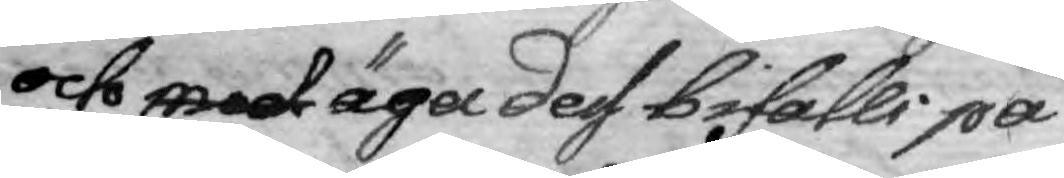och med äga dess bifalli på
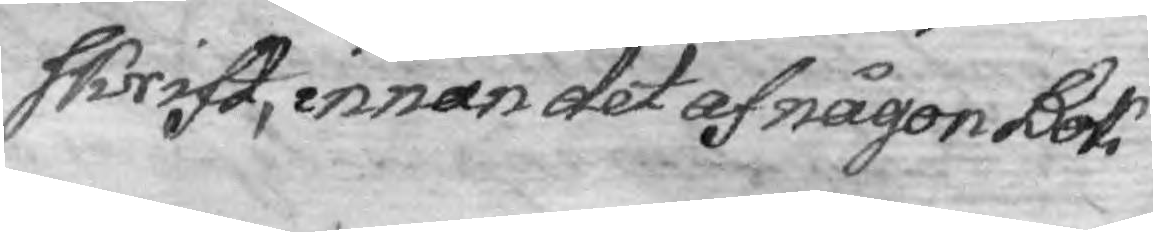skrift, innan det af någon Bok¬
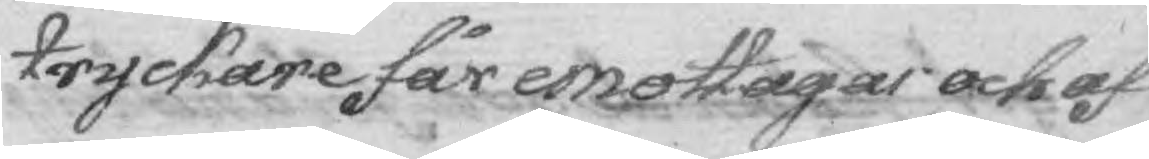tryckare får emottagas och af
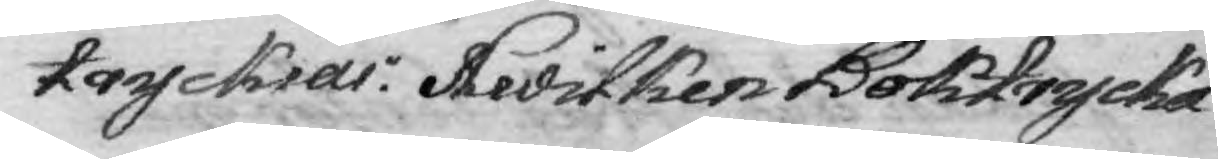tryckias. Hwilken Boktrycka¬
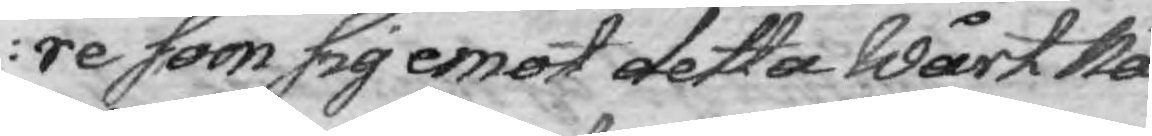re som sig emot detta Wårt Nå¬
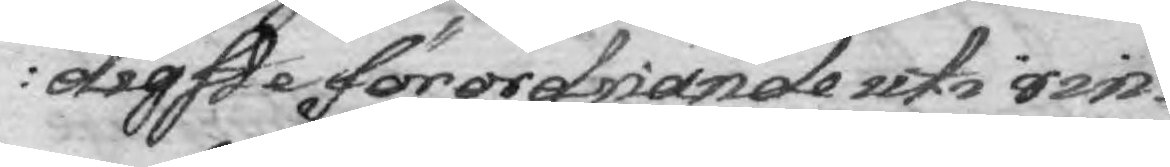digste förordnande uti ring¬
